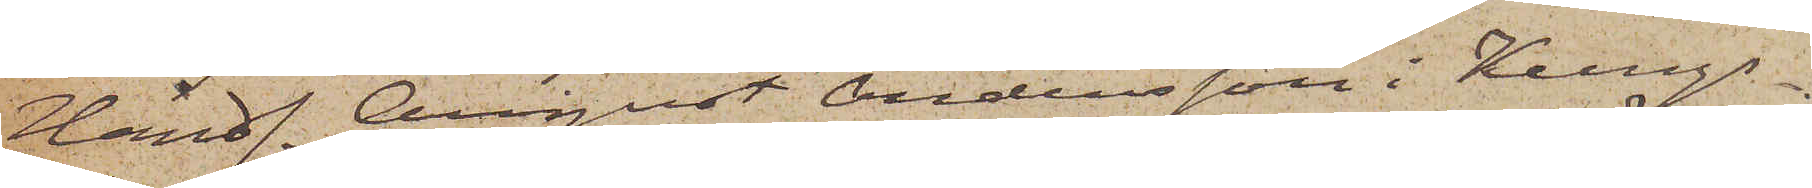Handl. August Andersson i Kungs¬
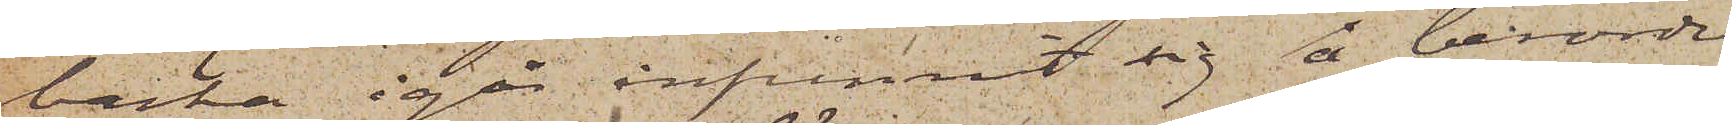backa igår infunnit sig å berörde
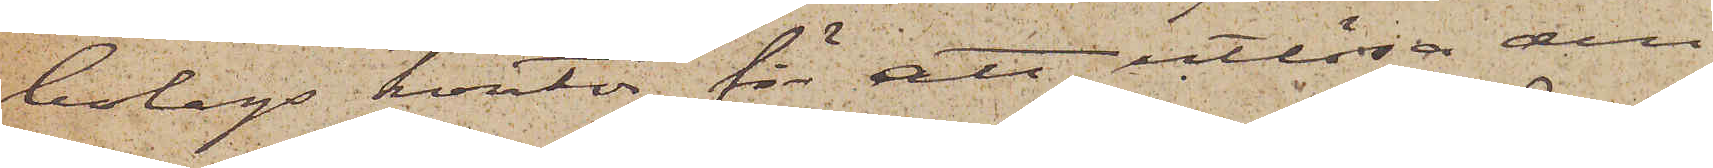bolags kontor för att utlösa den
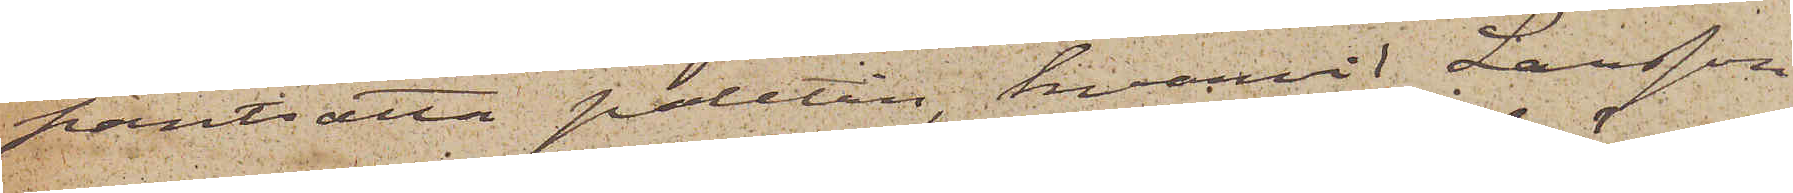pantsatta paletån, hvarvid Larsson
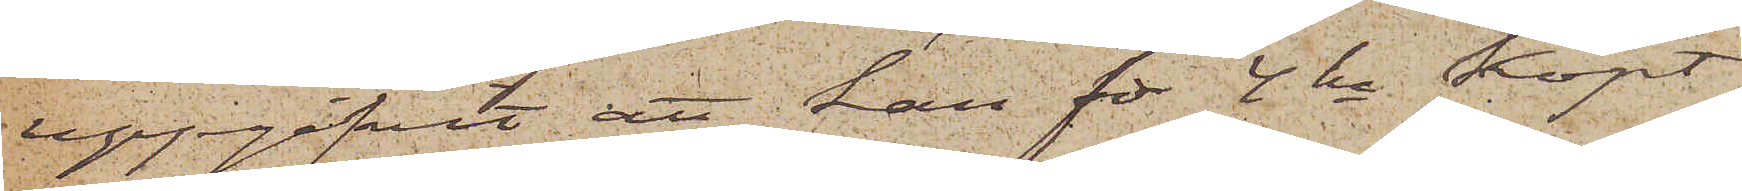uppgifvit att han för 4 kr köpt
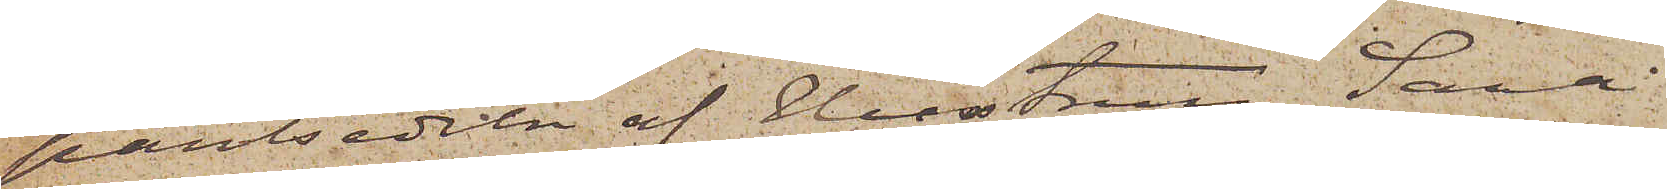pantsedeln af Hustrun Sara
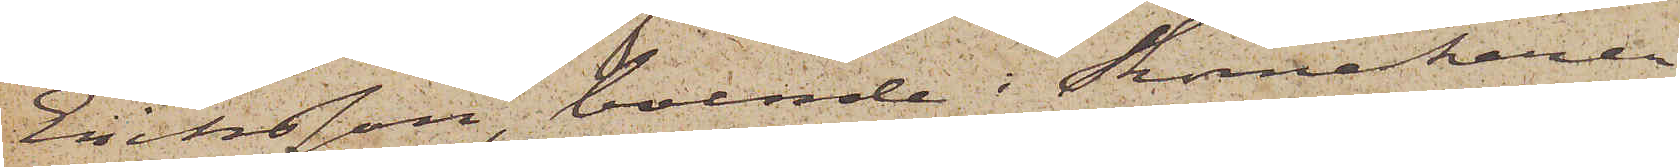Eriksson, boende i Skomakaren
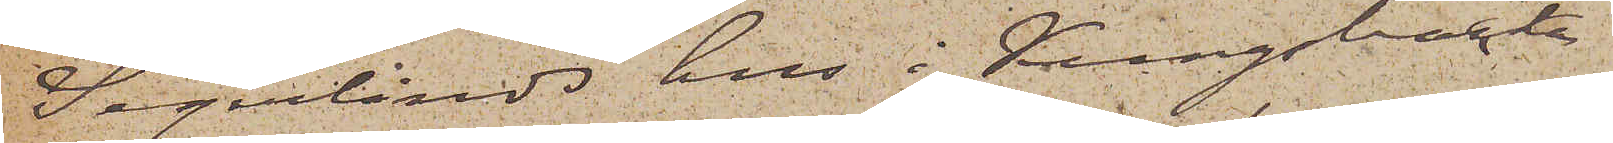Segerlinds hus i Kungsbacka
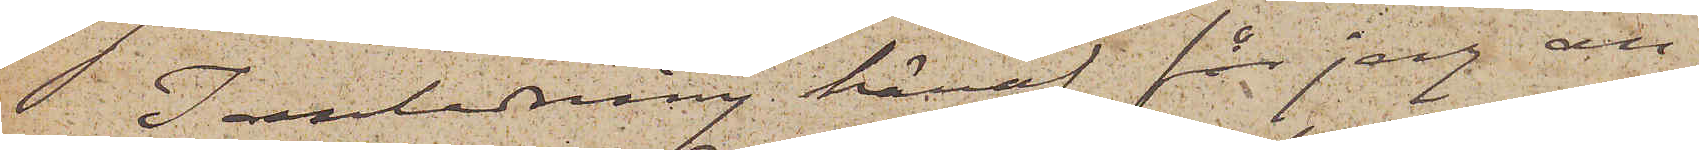 I anledning häraf får jag an¬
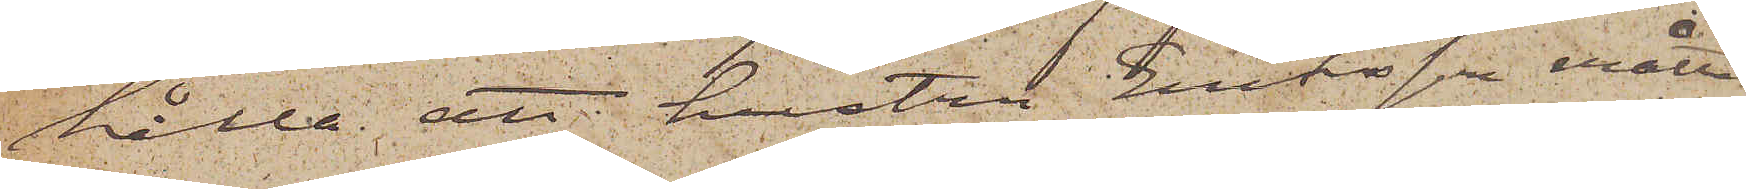hålla att hustru Eriksson måtte
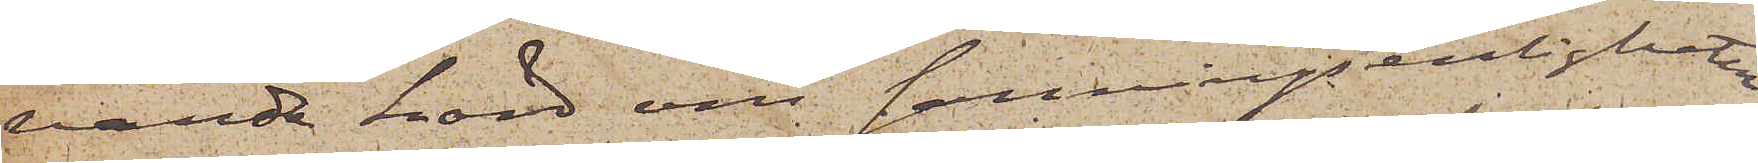varda hörd om sanningsenligheten
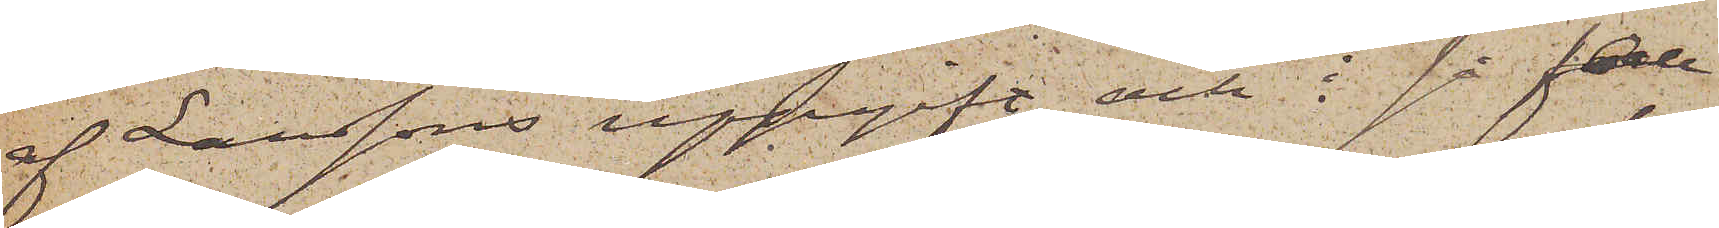af Larssons uppgift och i så fall
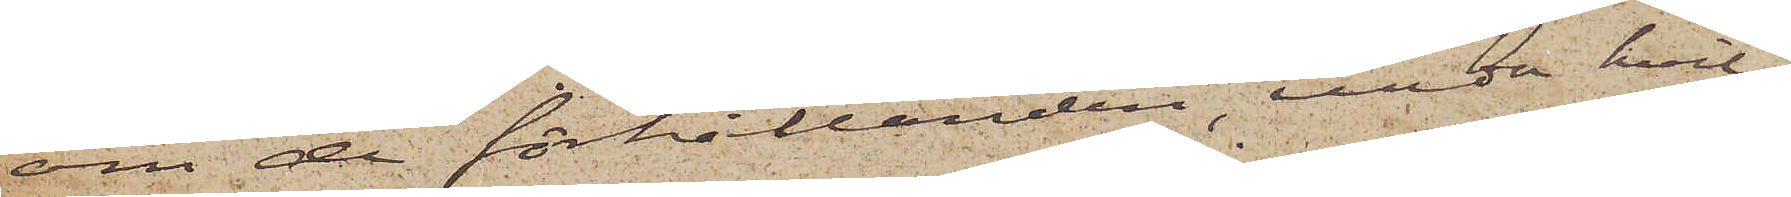om de förhållanden, under hvil¬
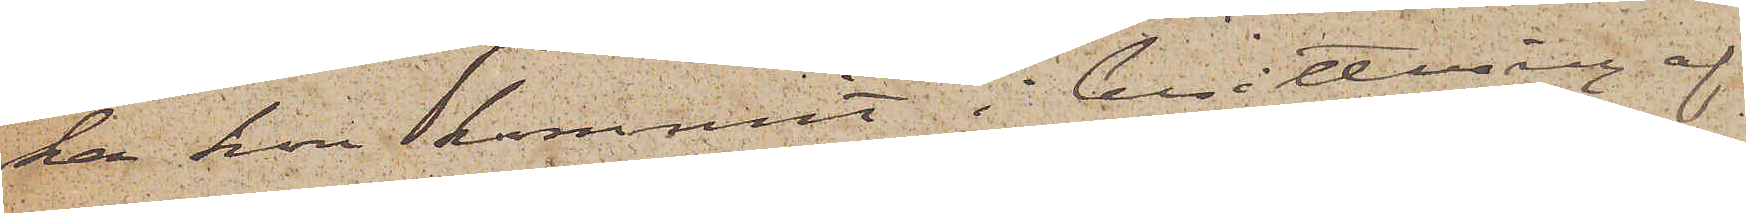ka hon kommit i besittning af
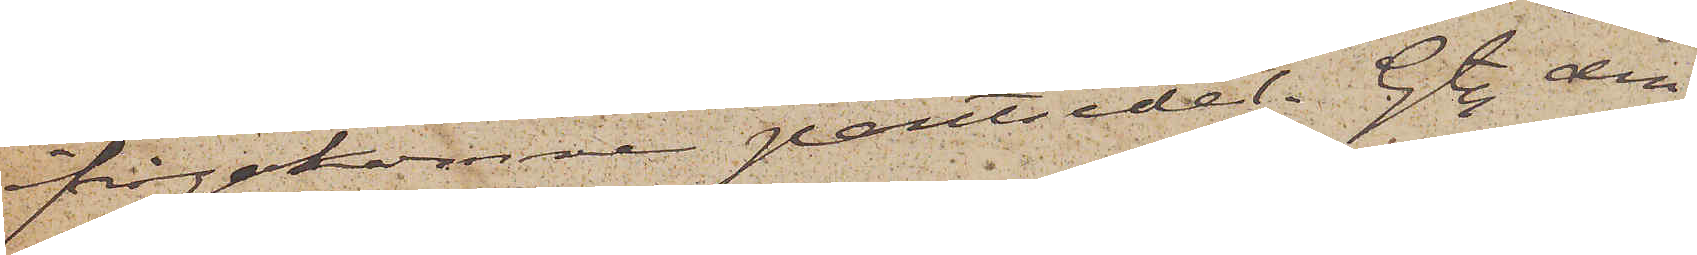ifrågakomne pantsedel. Gtbg den
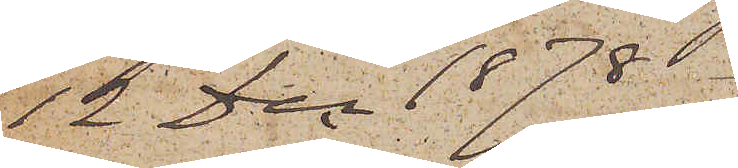12 Dec 1878.
